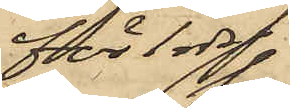för 1 rdr
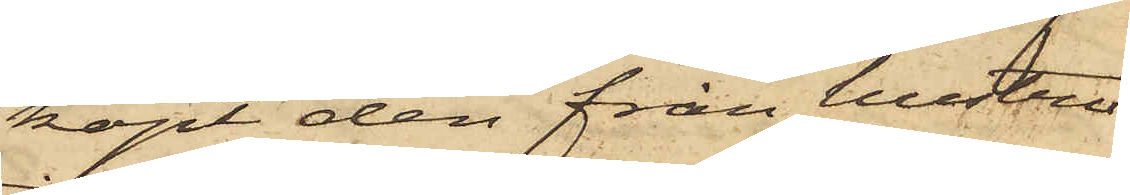köpt den från hustru
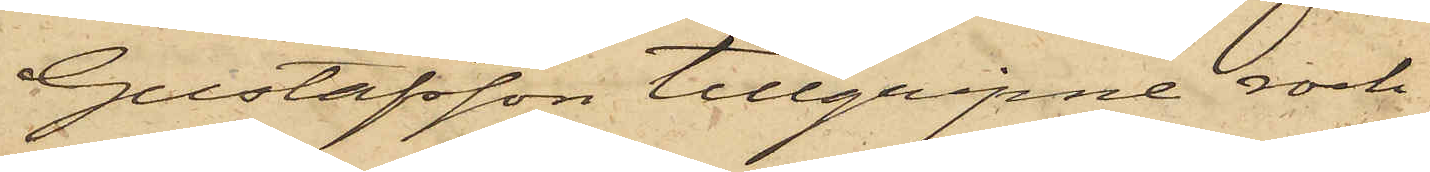Gustafsson tillgripne rock
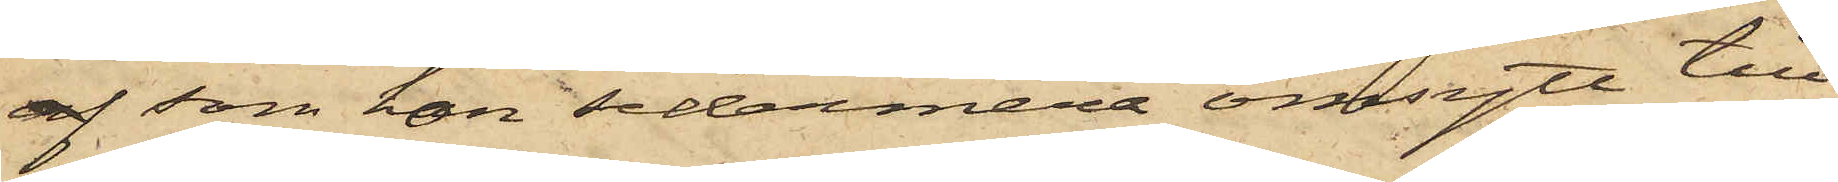af som hon sedermera omsytt till
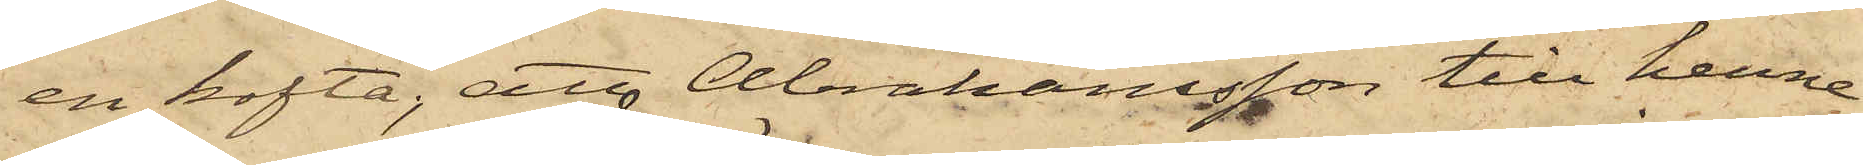en kofta; att Abrahamsson till henne
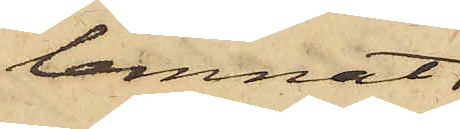lemnat
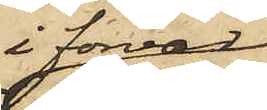i förvar
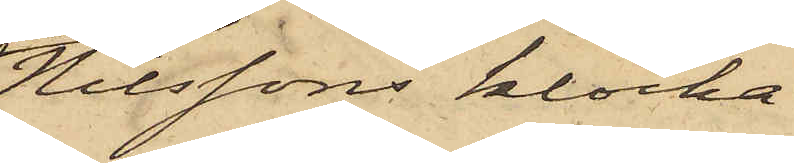Nilssons klocka
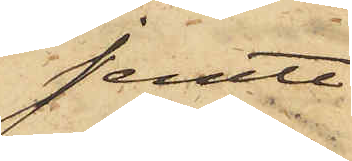jemte
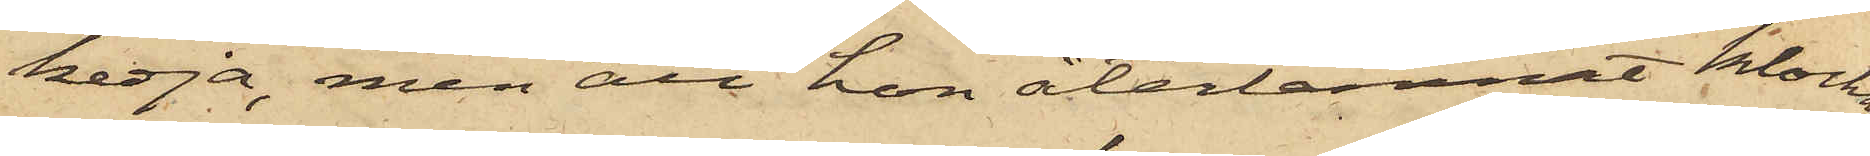kedja, men att hon återlemnat klockan
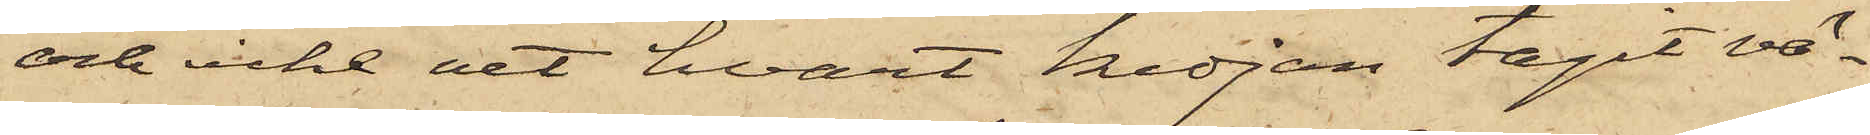och icke vet hvart kedjan tagit vä¬
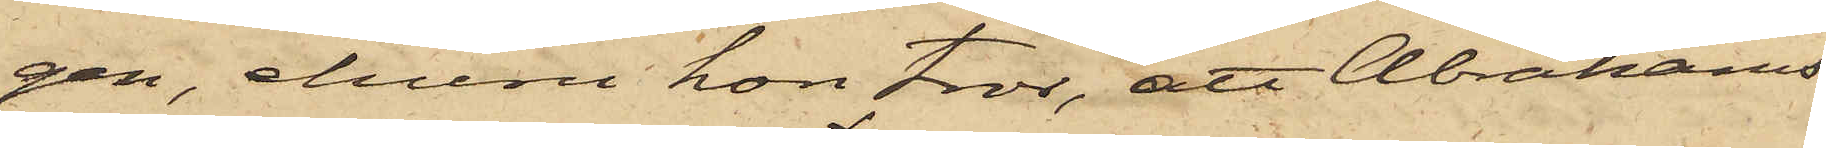gen, ehuru hon tror, att Abrahams¬
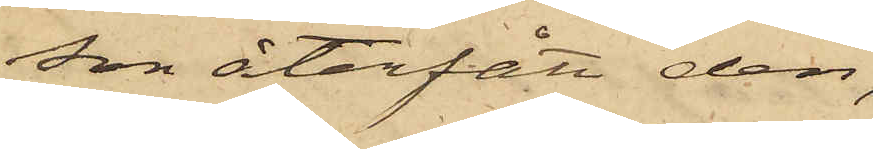son återfått den;
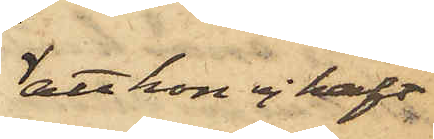att hon ej haft
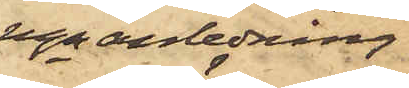ngn anledning
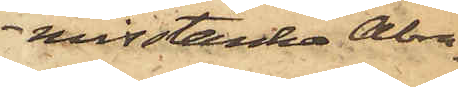misstänka Abra¬
